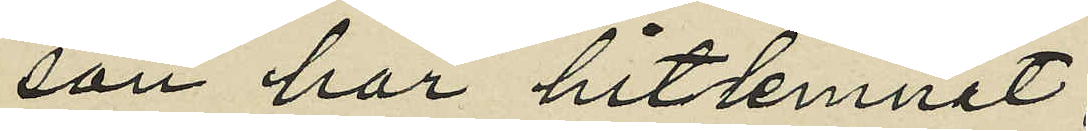son har hitlemnat
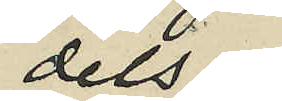dels
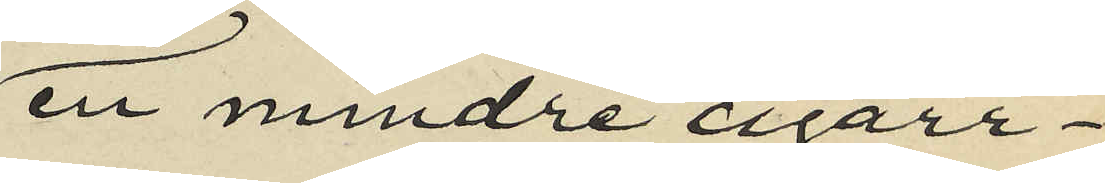en mindre cigarr¬
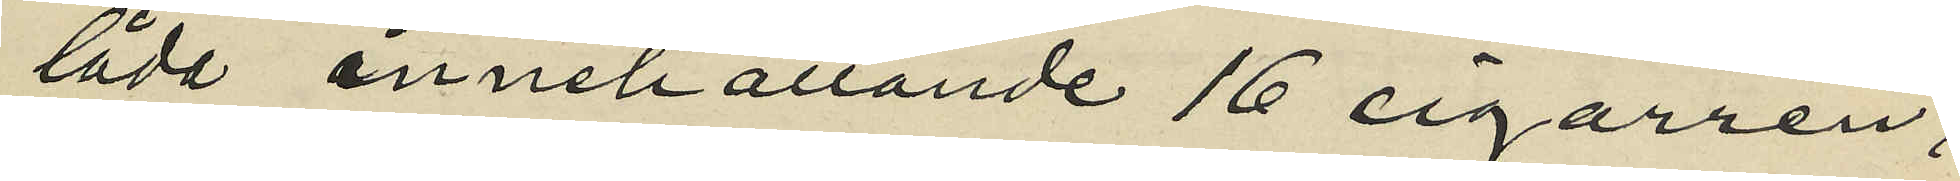låda innehållande 16 cigarrer,
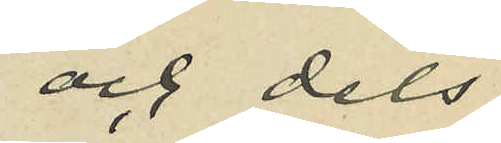och dels
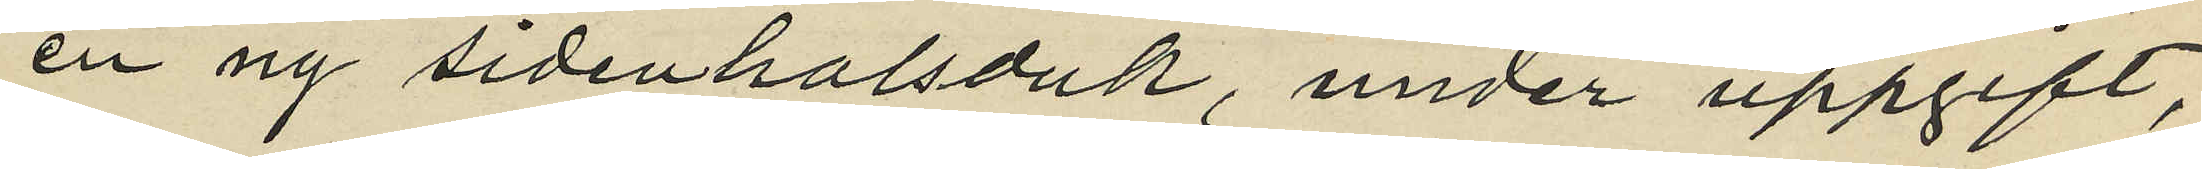en ny sidenhalsduk, under uppgift,
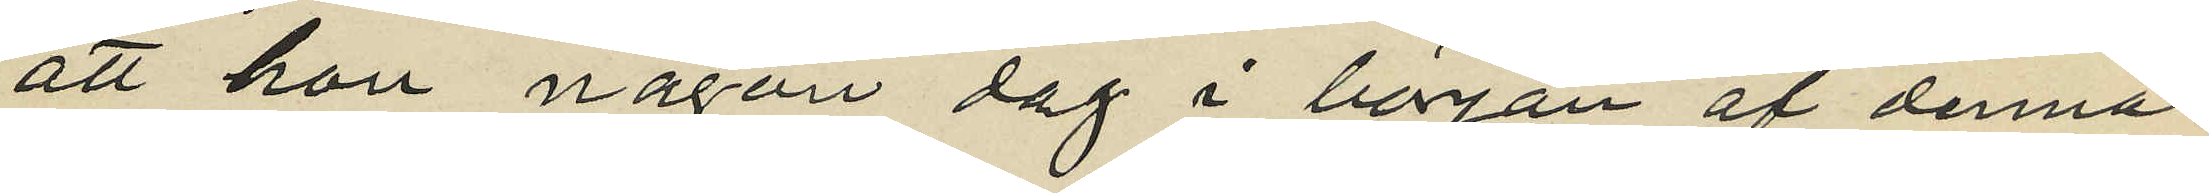att hon någon dag i början af denna
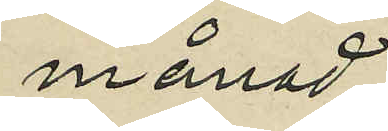månad,
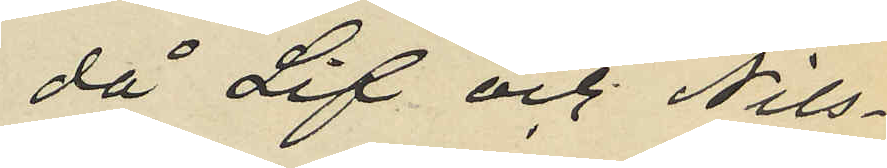då Lif och Nils¬
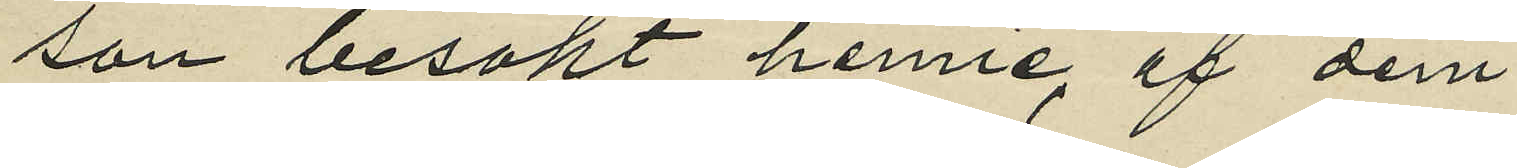son besökt henne, af dem
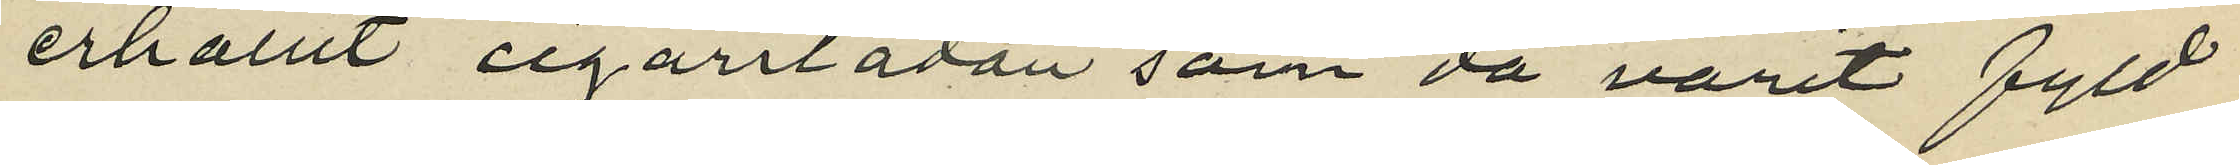erhållit cigarrlådan som då varit fyld
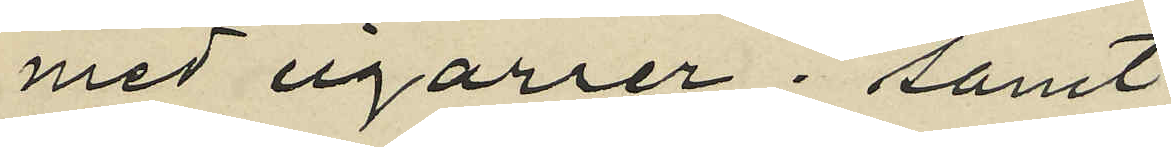med cigarrer; samt
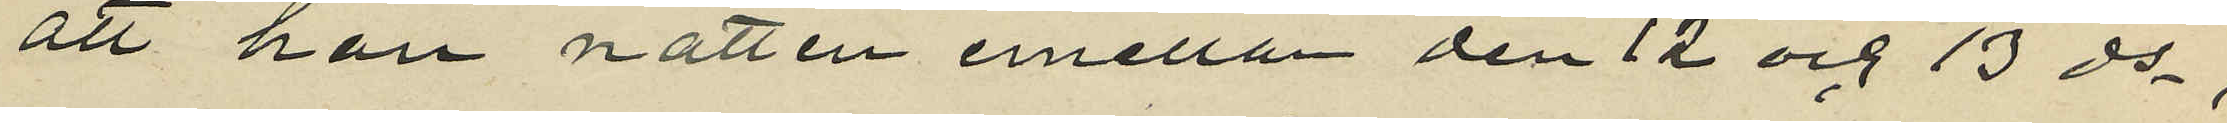att hon natten emellan den 12 och 13 ds,
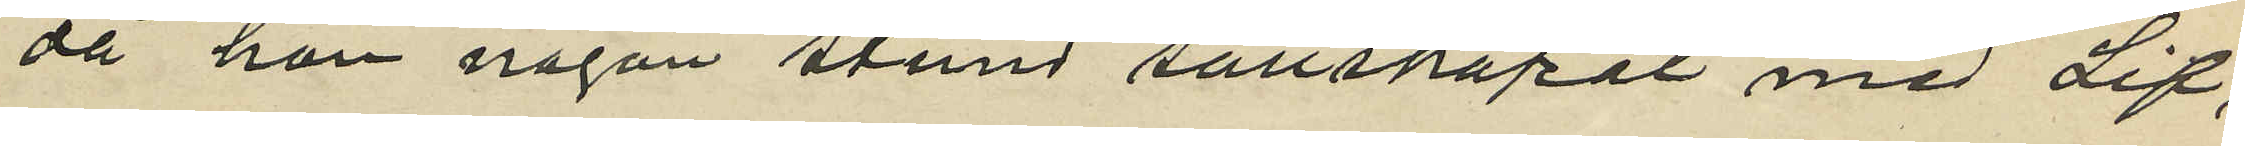då hon någon stund sällskapat med Lif,
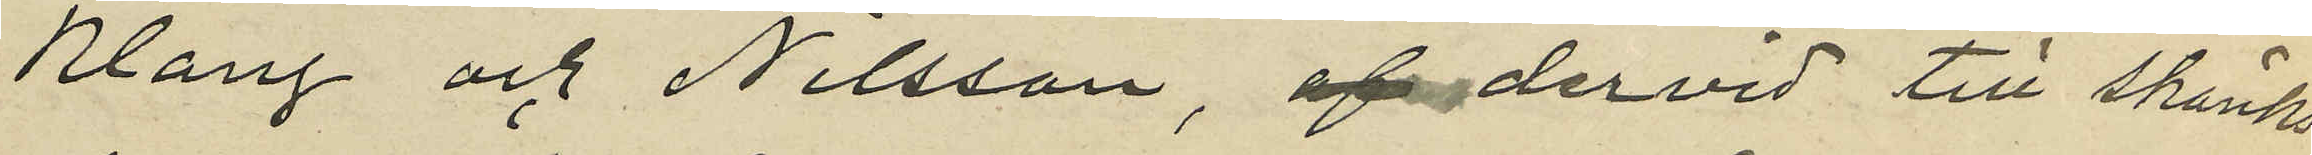Klang och Nilsson, dervid till skänks
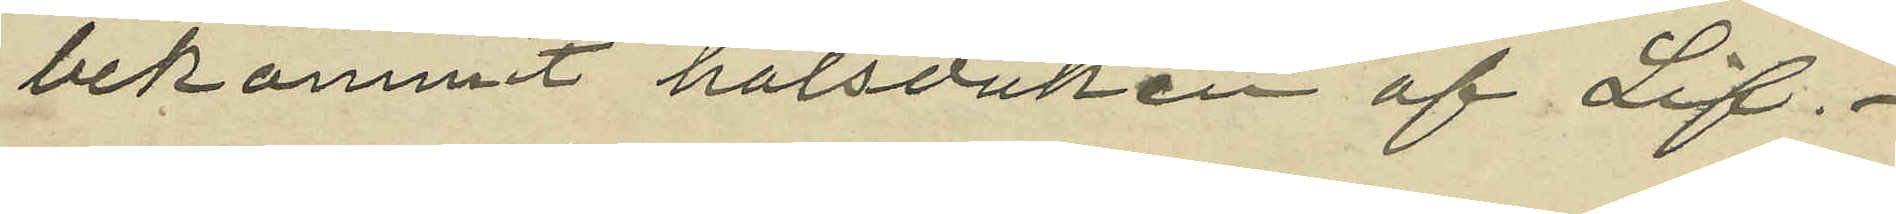bekommit halsduken af Lif.
